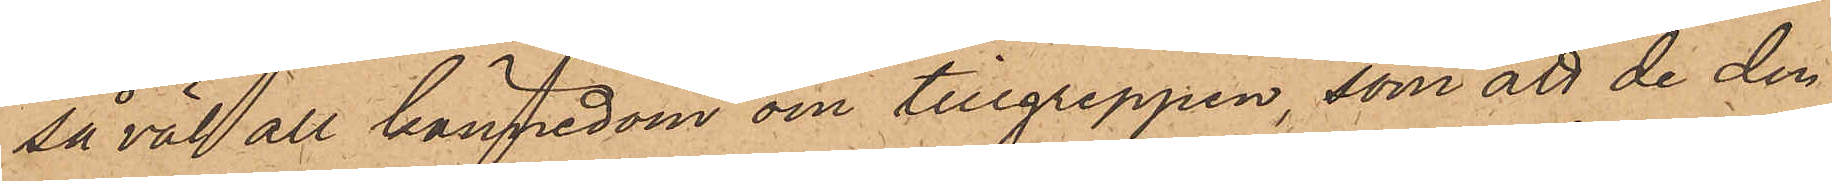så väl all kännedom om tillgreppen, som att de den
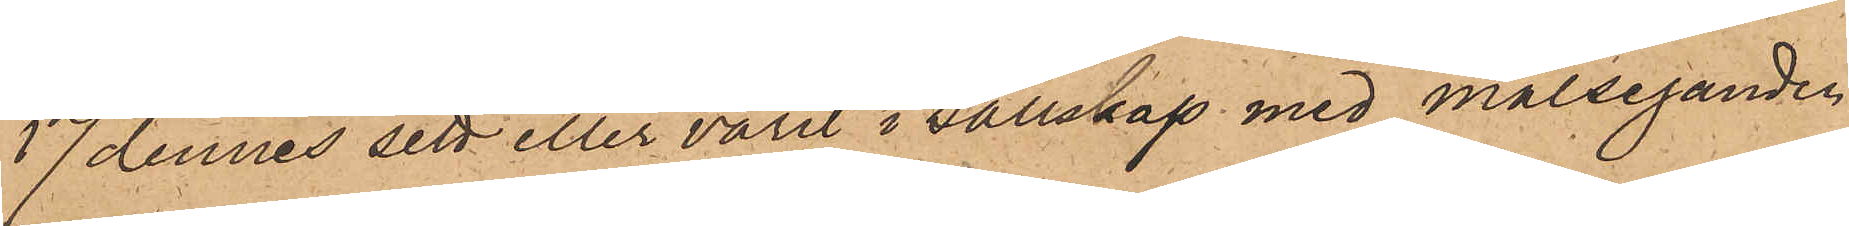17 dennes sett eller varit i sällskap med målseganden
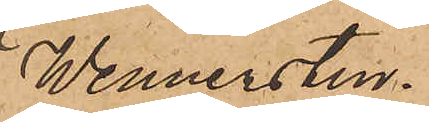Wennersten.
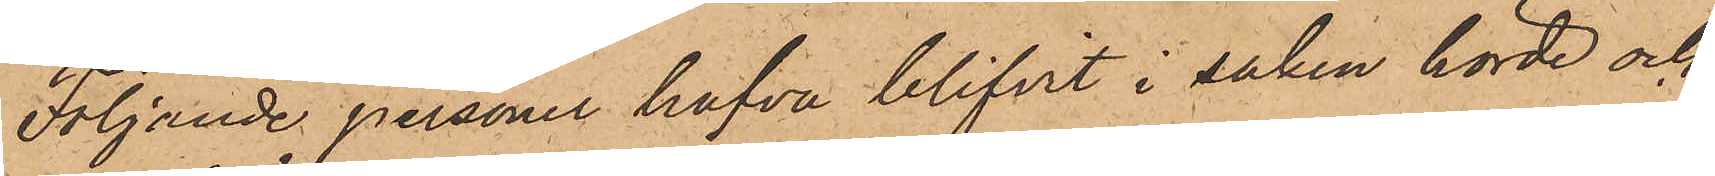Följande personer hafva blifvit i saken hörde och
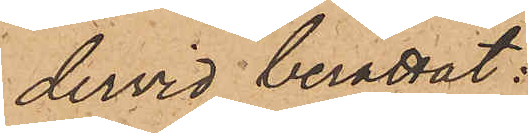dervid berättat:
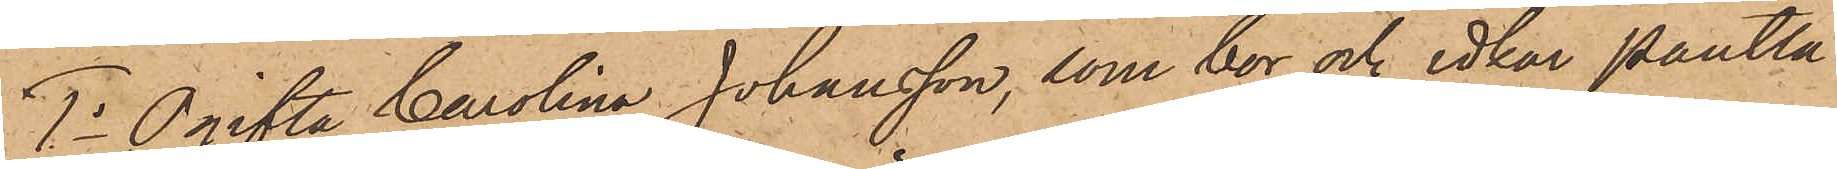1o Ogifta Carolina Johansson, som bor och idkar Pantlå¬
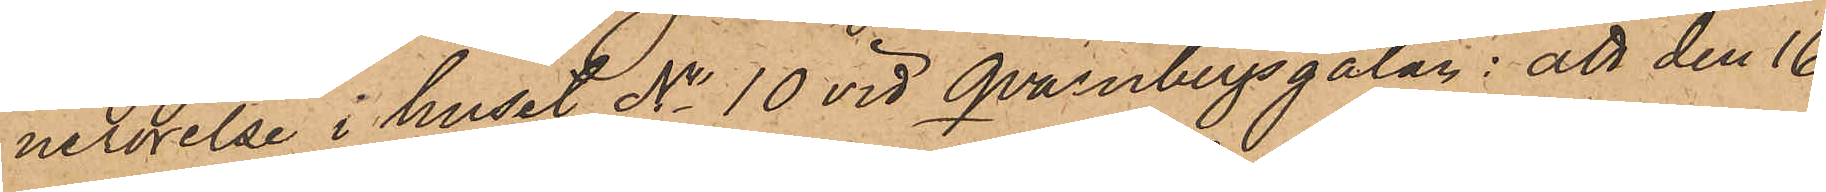nerörelse i huset No 10 vid Qvarnbergsgatan: att den 16
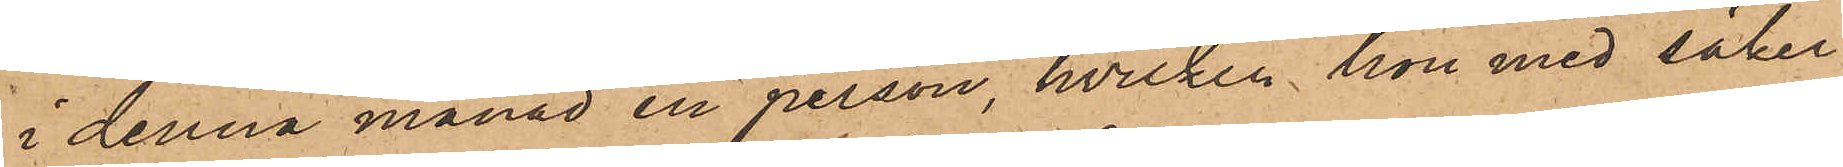i denna månad en person, hvilken hon med säker¬
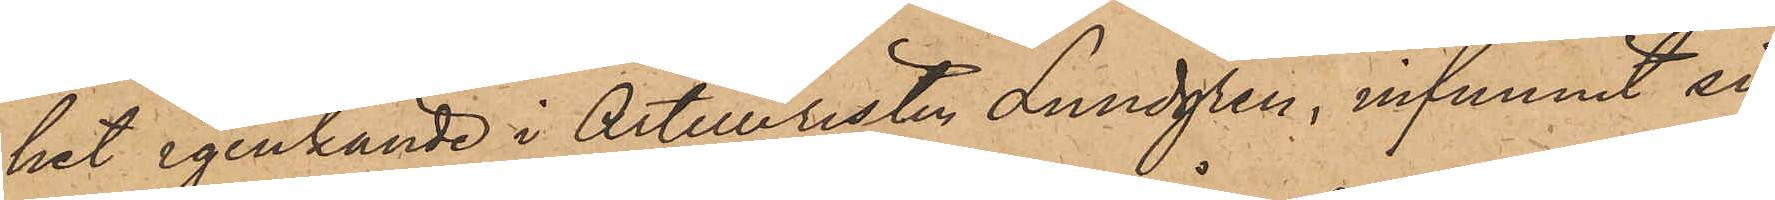het igenkände i Artilleristen Lundgren, infunnit sig
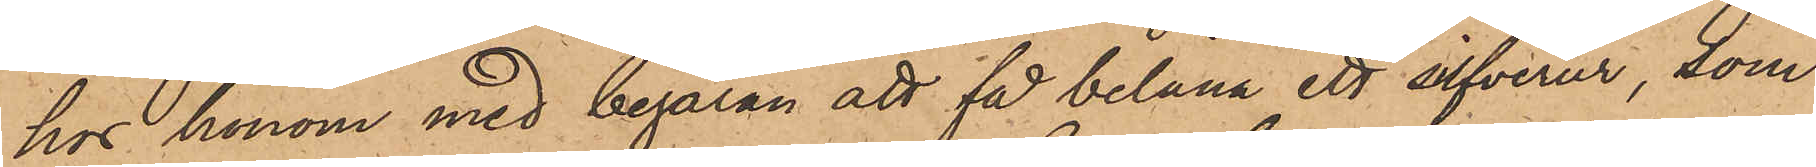hos honom med begäran att få belåna ett silfverur, som
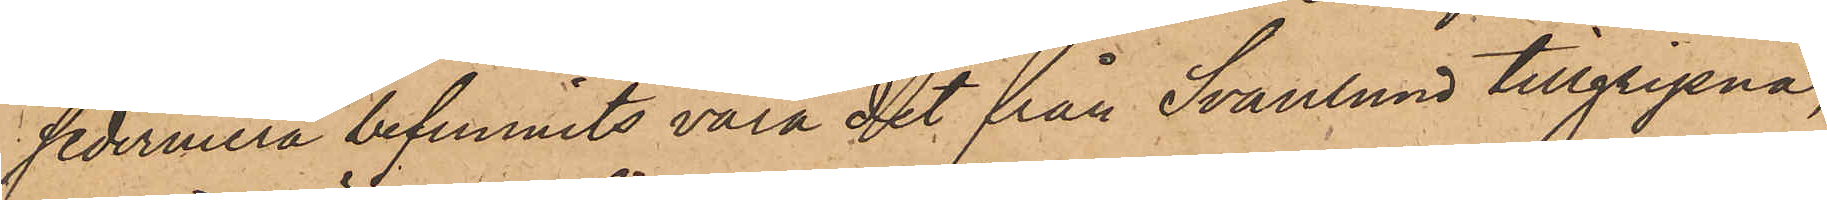sedermera befunnits vara det från Svanlund tillgripna,
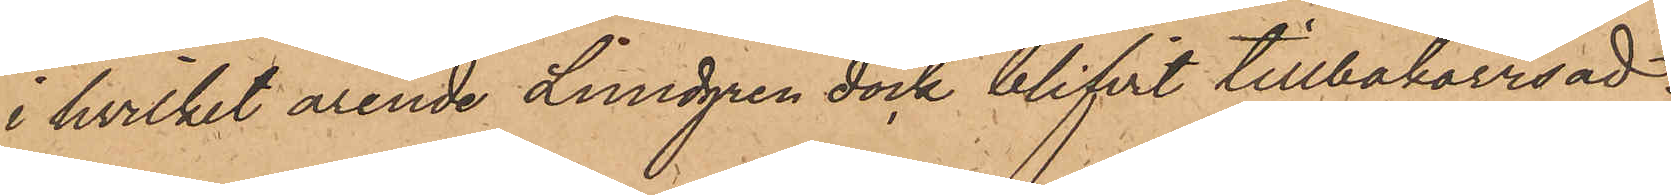i hvilket ärende Lundgren dock blifvit tillbakavisad.
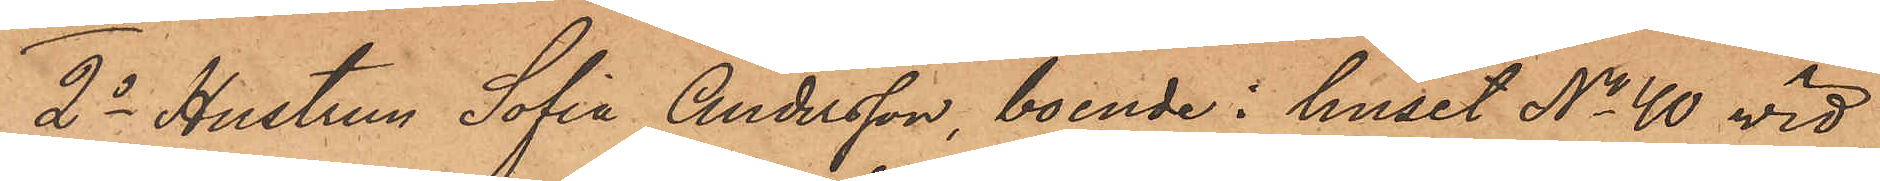2o Hustrun Sofia Andersson, boende i huset No 40 vid
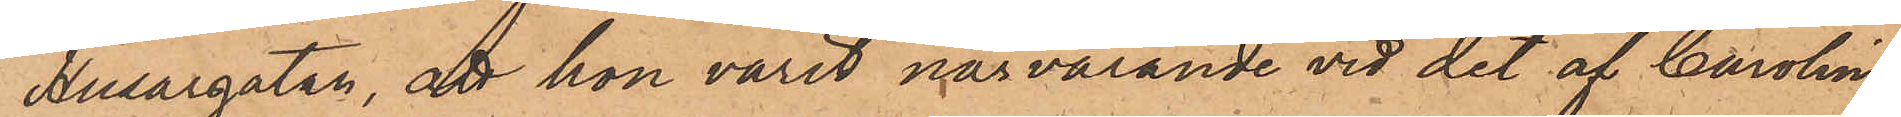Husargatan, att hon varit närvarande vid det af Carolina
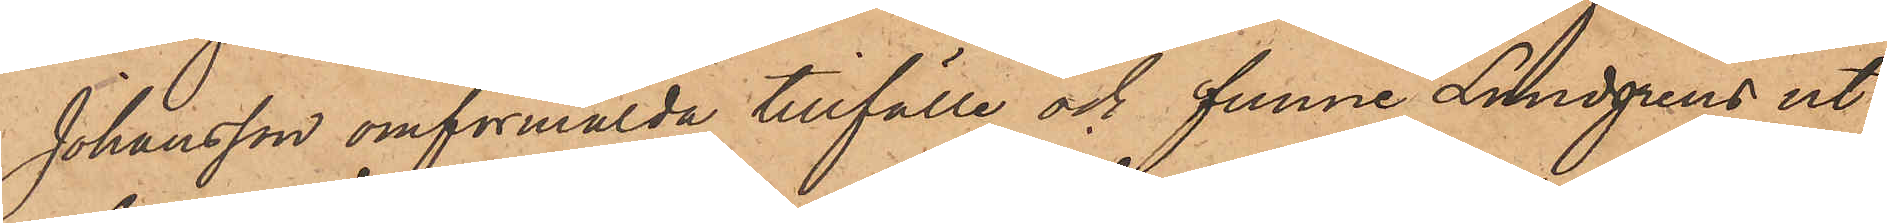Johansson omförmälda tillfälle och funne Lundgrens ut¬
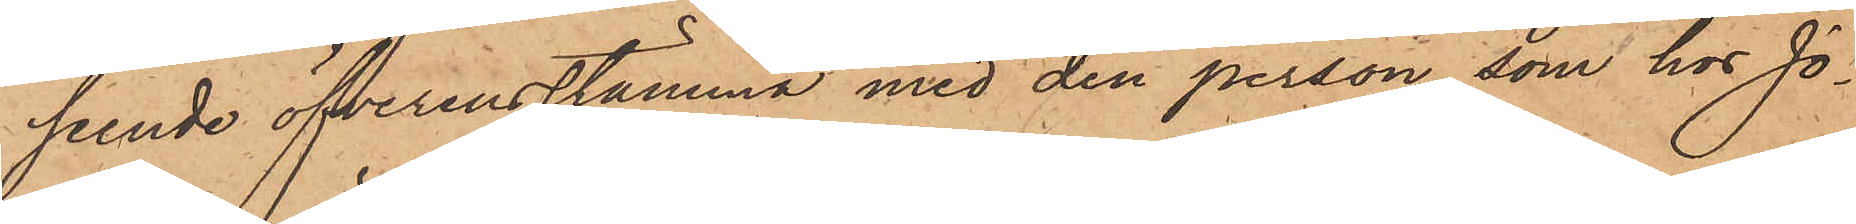seende öfverensstämma med den person, som hos Jo¬
